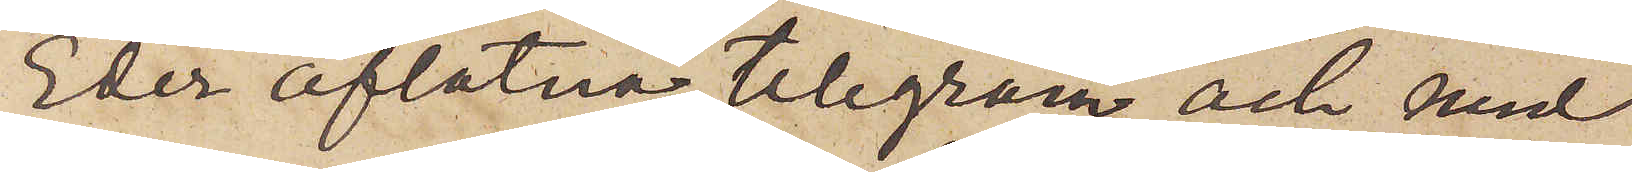Eder aflåtna telegram och med
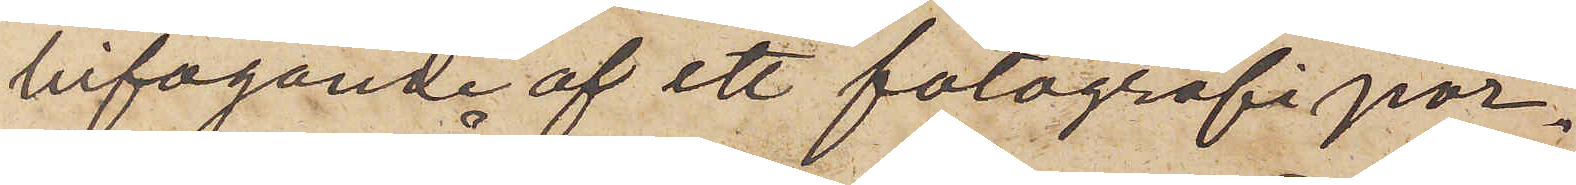bifogande af ett fotografipor¬
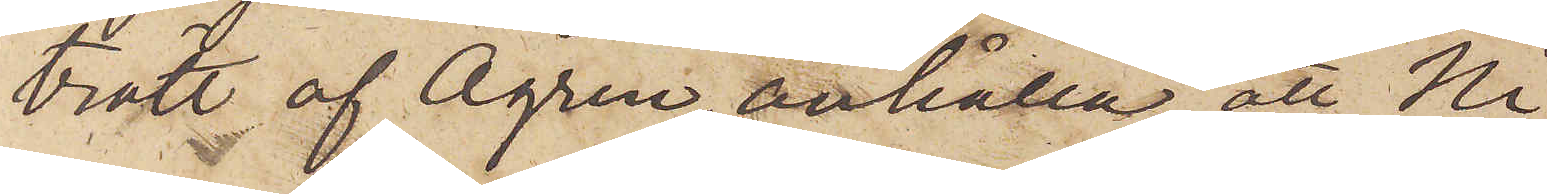trätt af Ågren, anhålla, att Ni
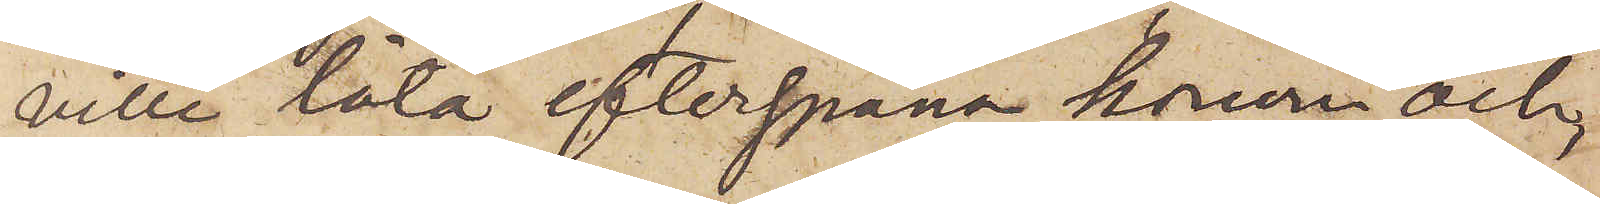ville låta efterspana honom och,
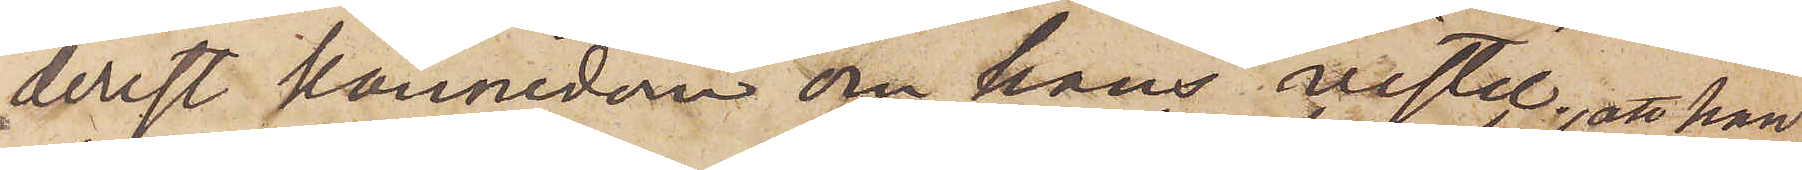derest kännedom om hans vistel¬
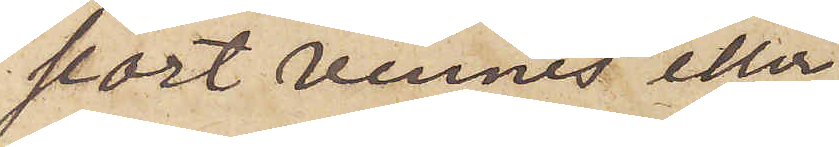seort vinnes eller
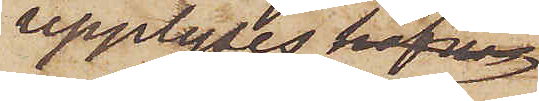upplyses att han
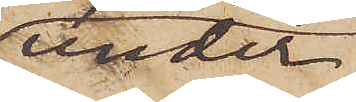under
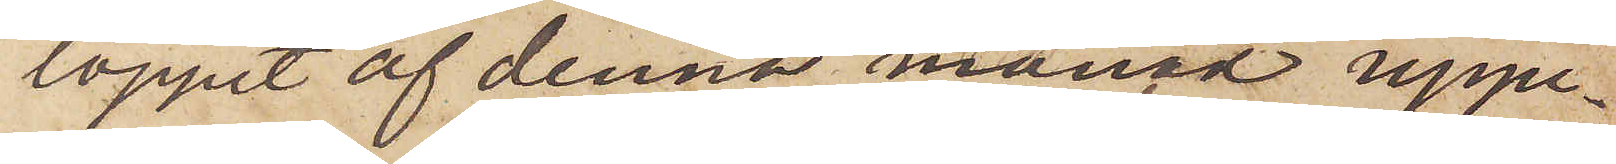loppet af denna månad uppe¬
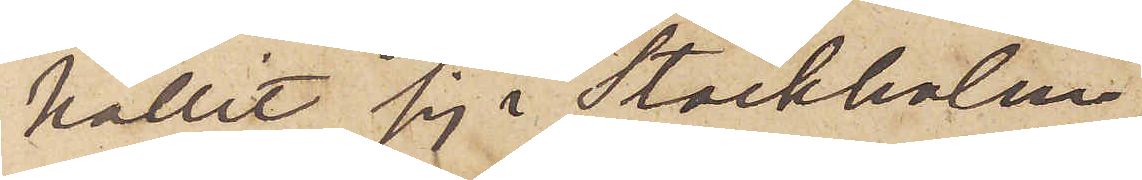hållit sig i Stockholm,
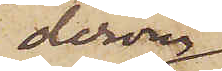derom
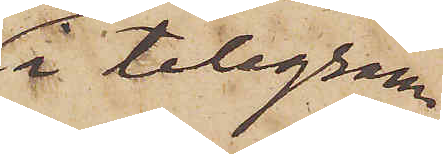i telegram
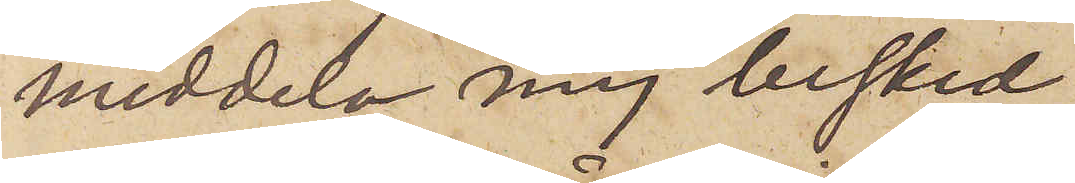meddela mig besked.
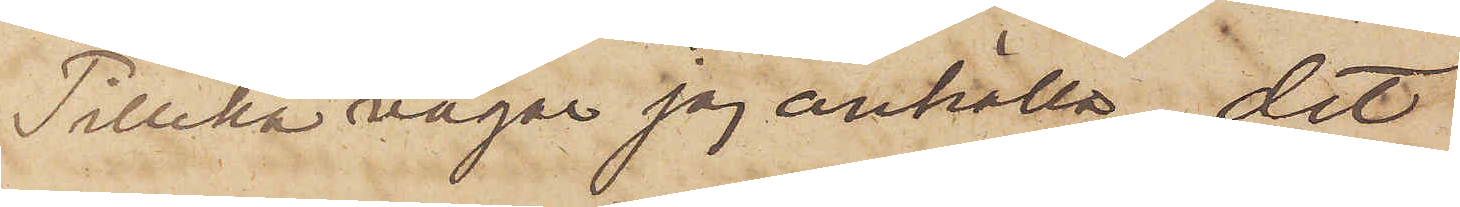Tillika vågar jag anhålla, det
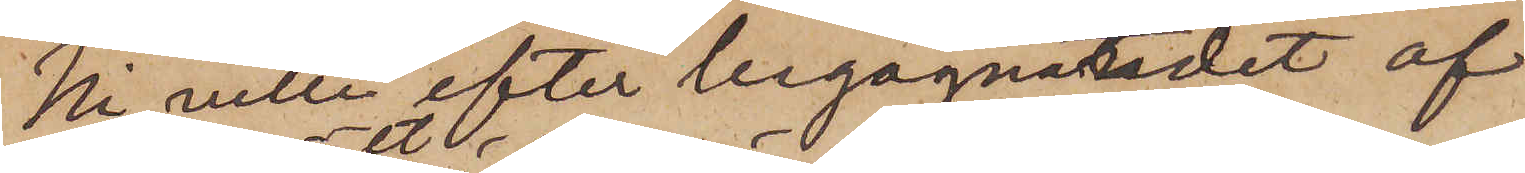Ni ville efter begagnandet af
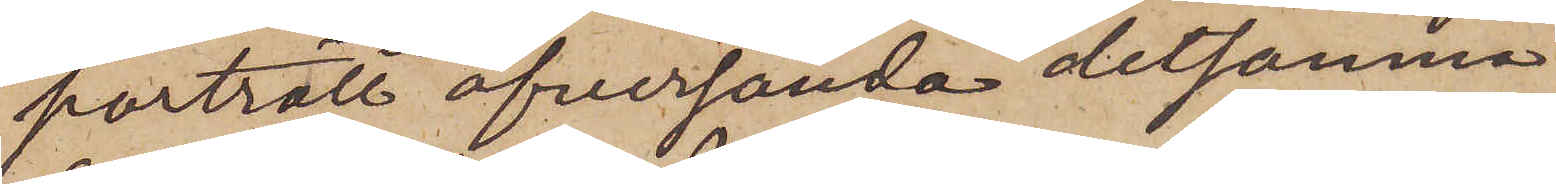porträttet öfversända detsamma
